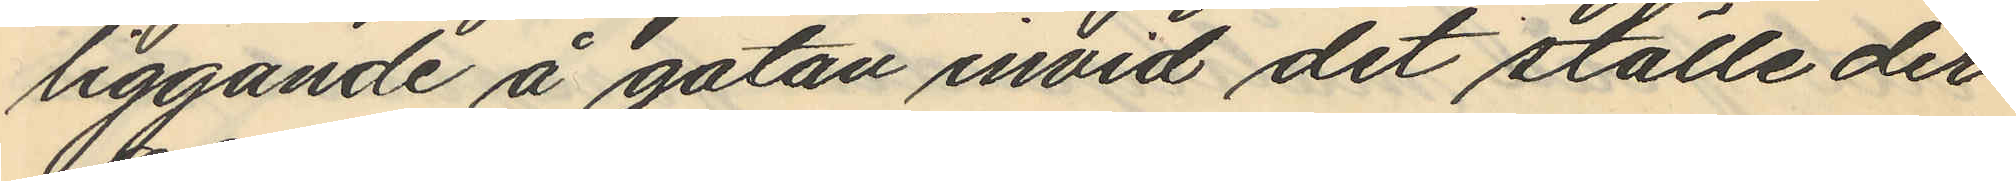liggande å gatan invid det ställe der
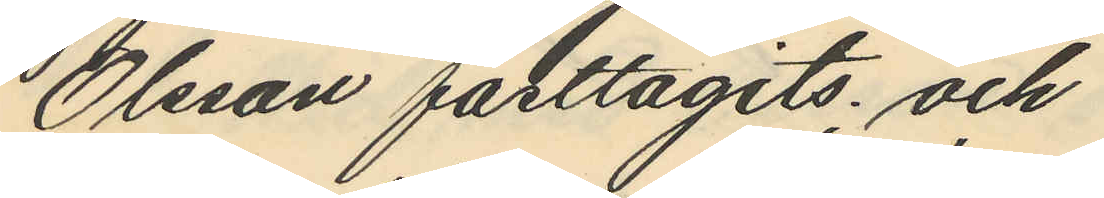Olsson fasttagits; och
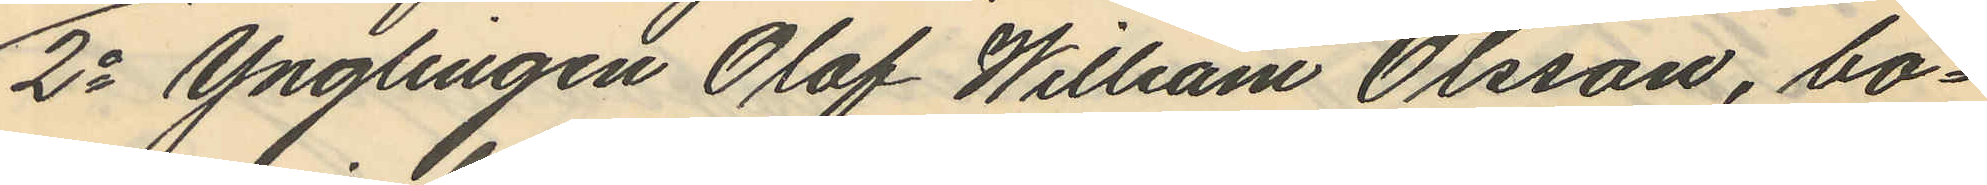2o Ynglingen Olof William Olsson, bo¬
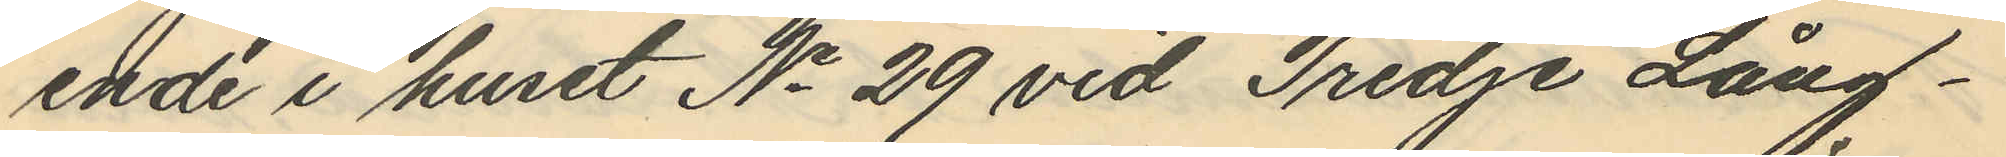ende i huset No 29 vid Tredje Lång¬
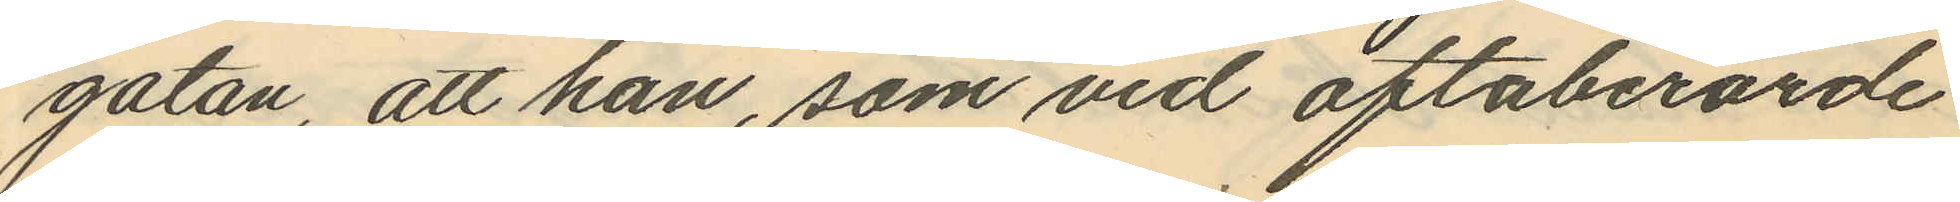gatan, att han, som vid oftaberörde
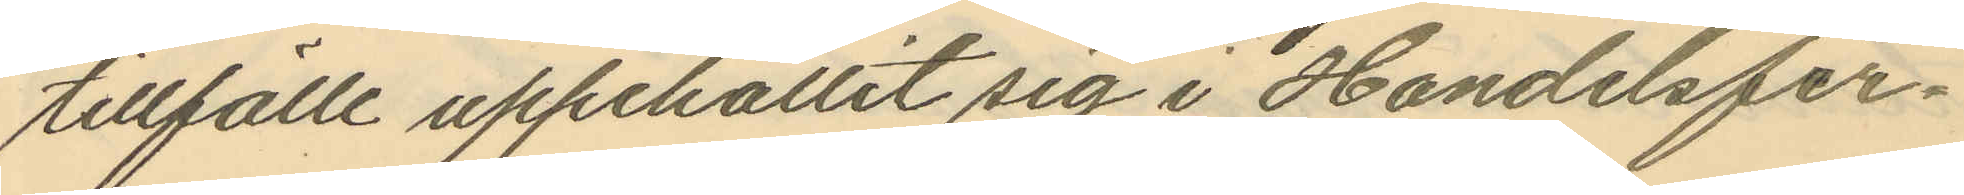tillfälle uppehållit sig i Handelsfir¬
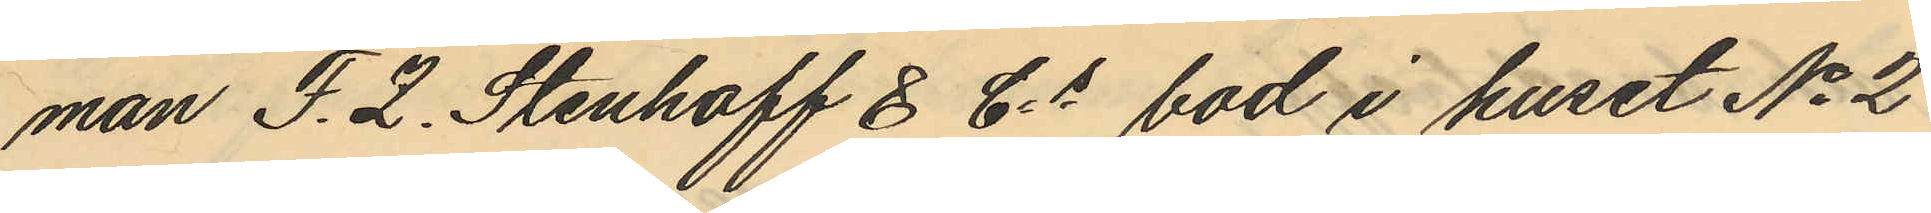man F. Z. Stenhoff & Cs bod i huset No 2
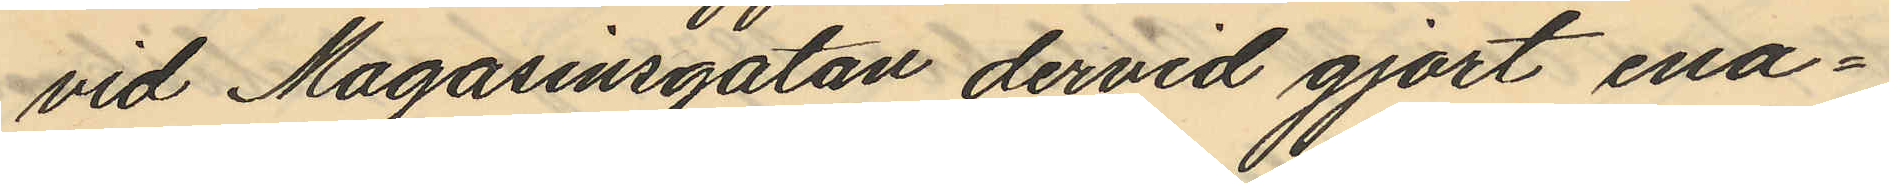vid Magasinsgatan dervid gjort ena¬
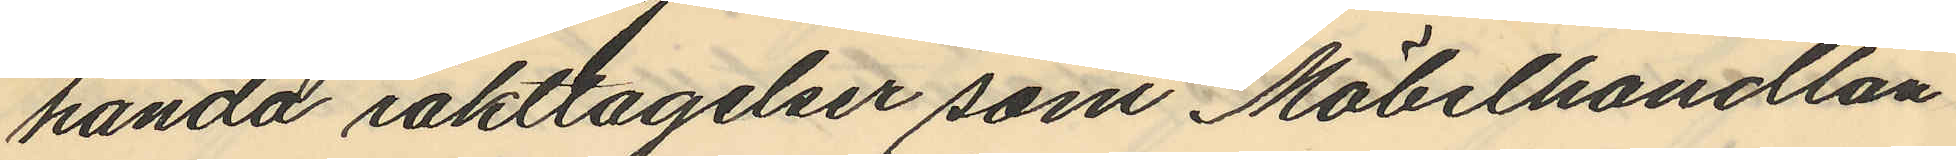handa iaktlagelser som Möbelhandlan
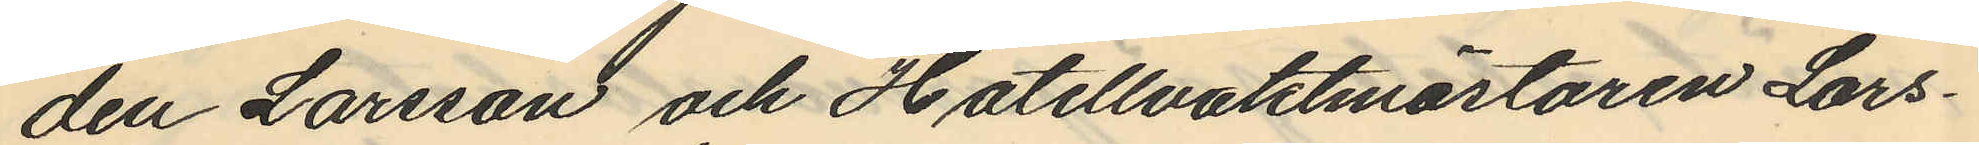den Larsson och Hotellvaktmästaren Lars¬
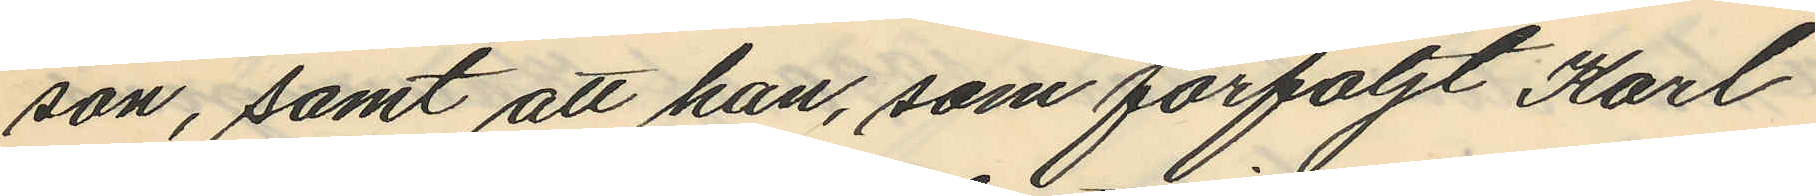son, samt att han, som förföljt Karl
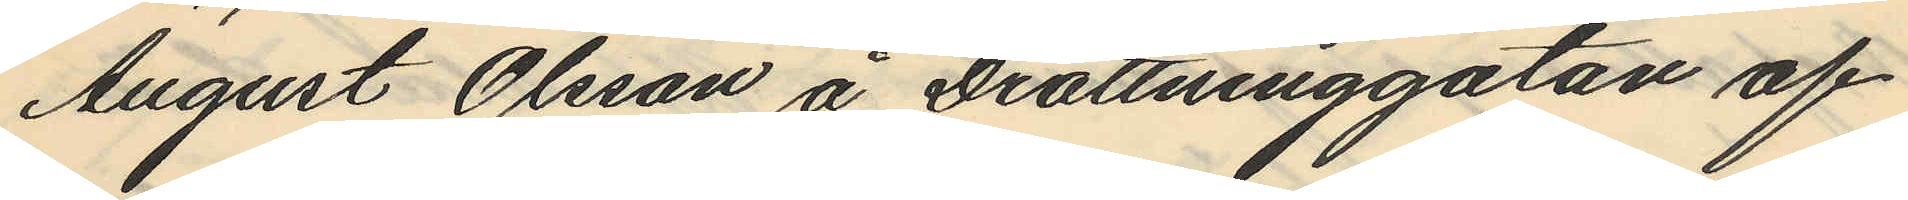August Olsson å Drottninggatan af
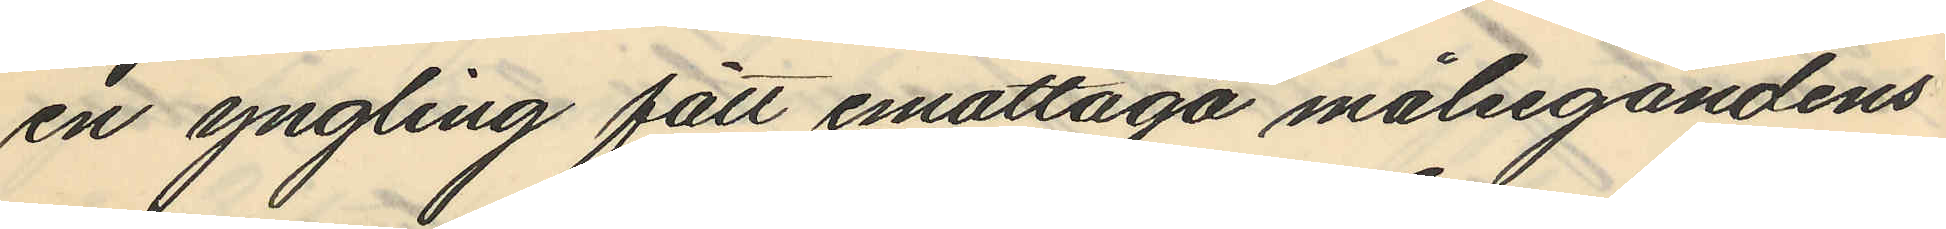en yngling fått emottaga målsegandens
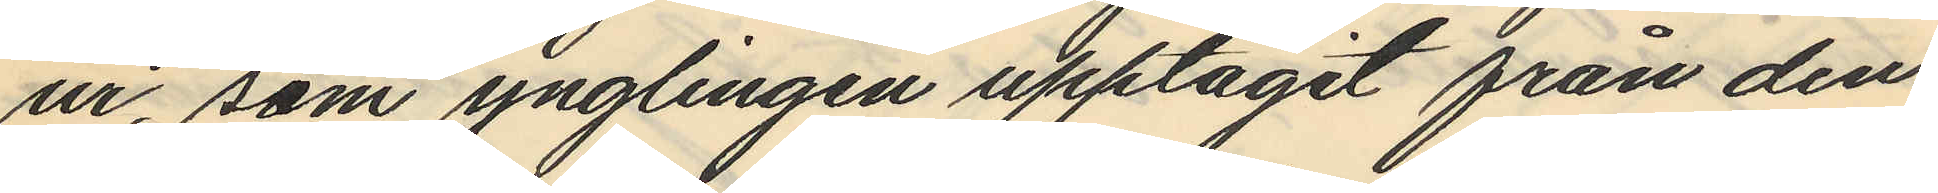ur, som ynglingen upptagit från den
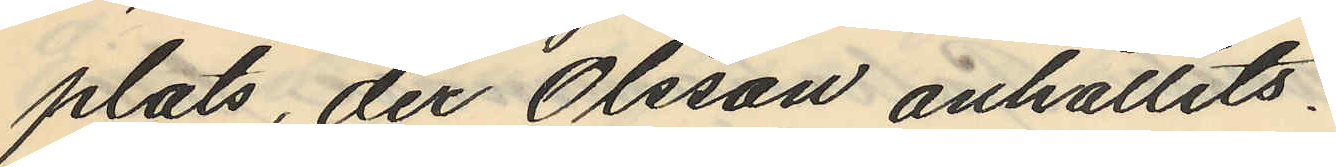plats, der Olsson anhållits.
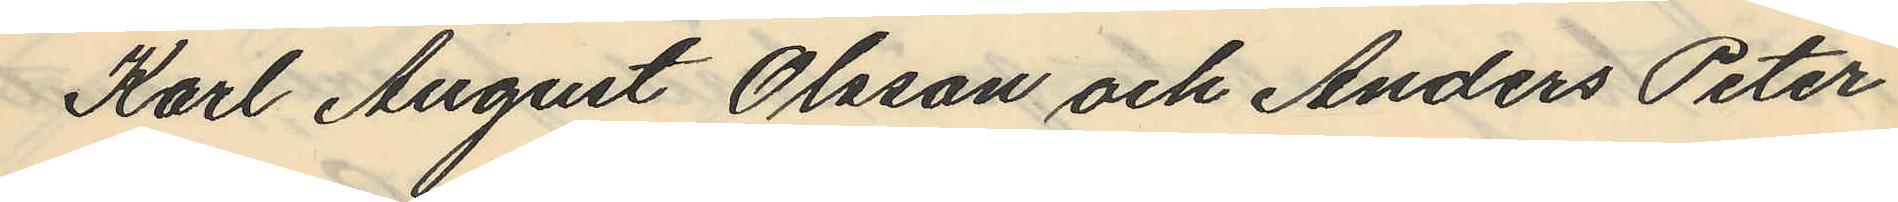Karl August Olsson och Anders Peter
